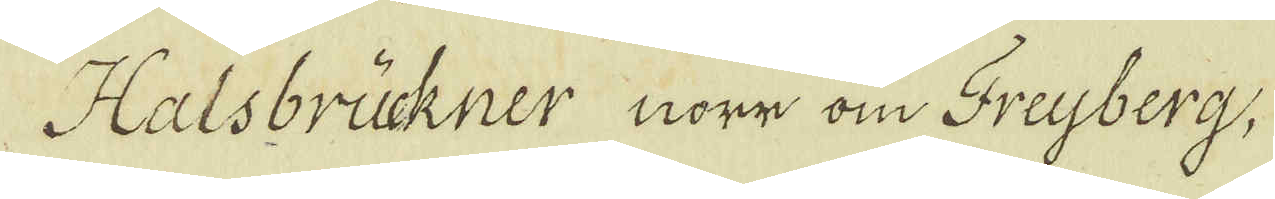Halsbrückner norr om Freyberg,
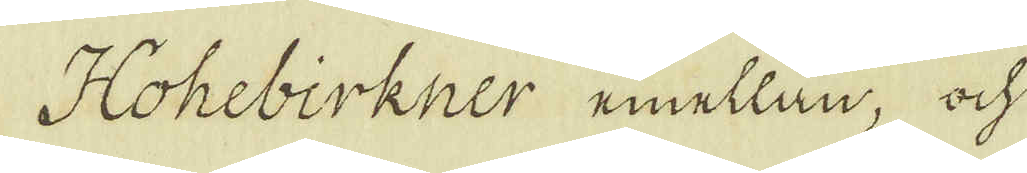Hohebirkner emellan, och
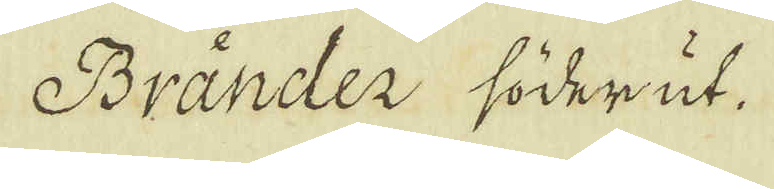Bränder söderut.
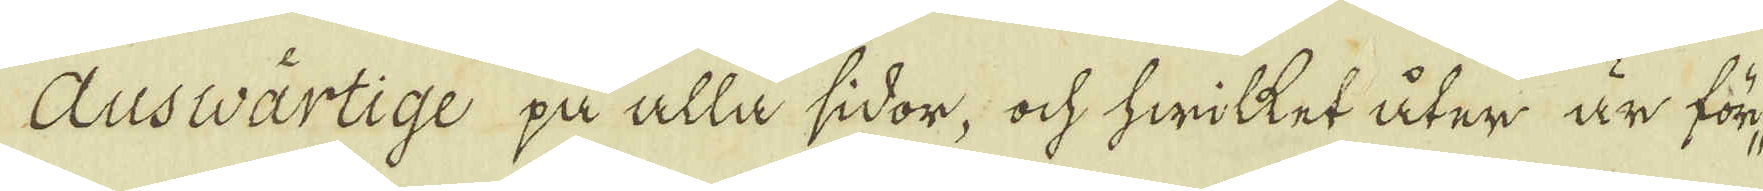Ausvärtige på alla sidor, ock hwilket åter är för-
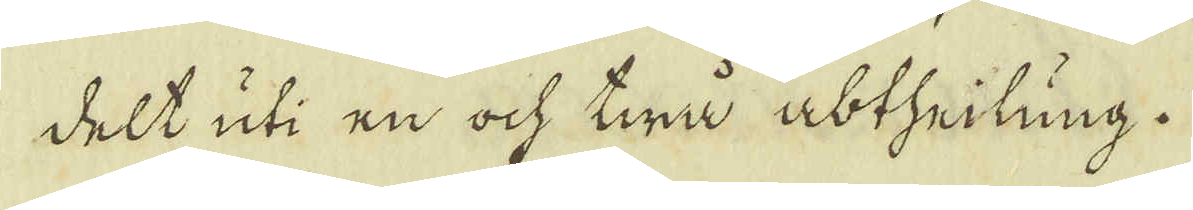delt uti en ock twå abtheilung.
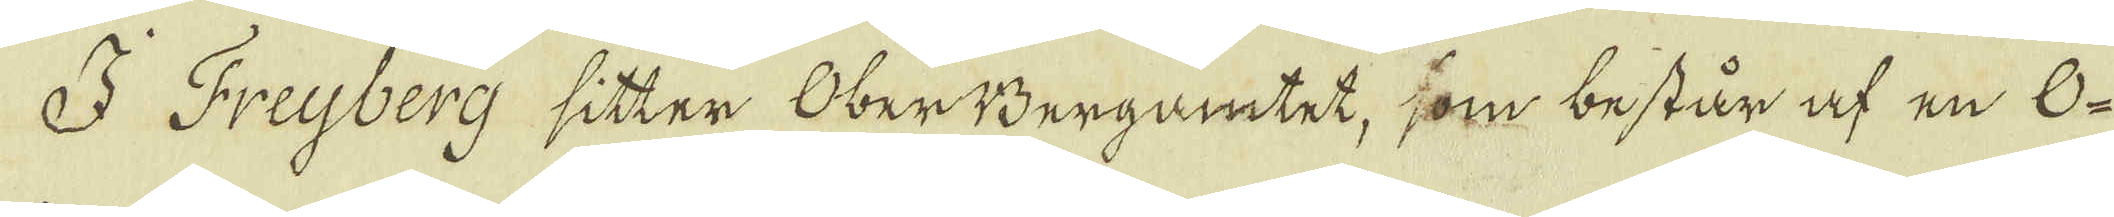I Freijberg sitter OberBergamtet, som består af en O-
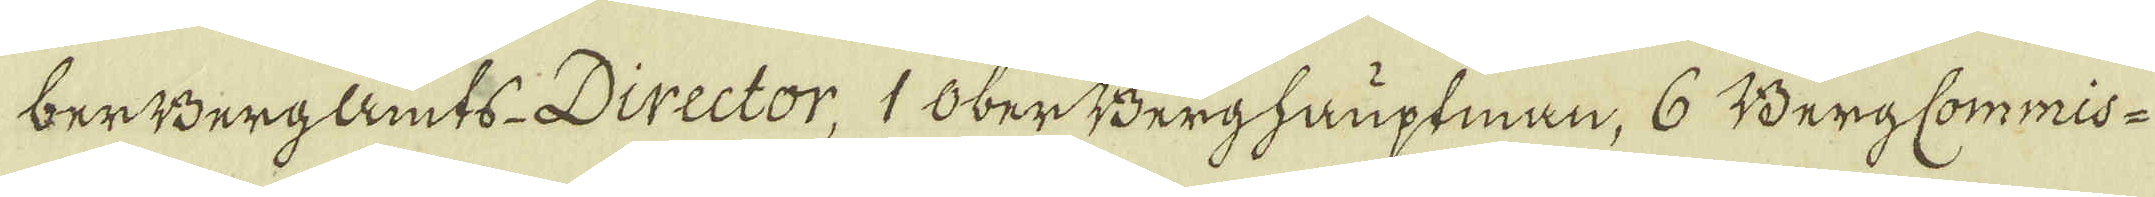berBerglamts-Director, 1 OberBerghauptnan, 6 BergCommis-
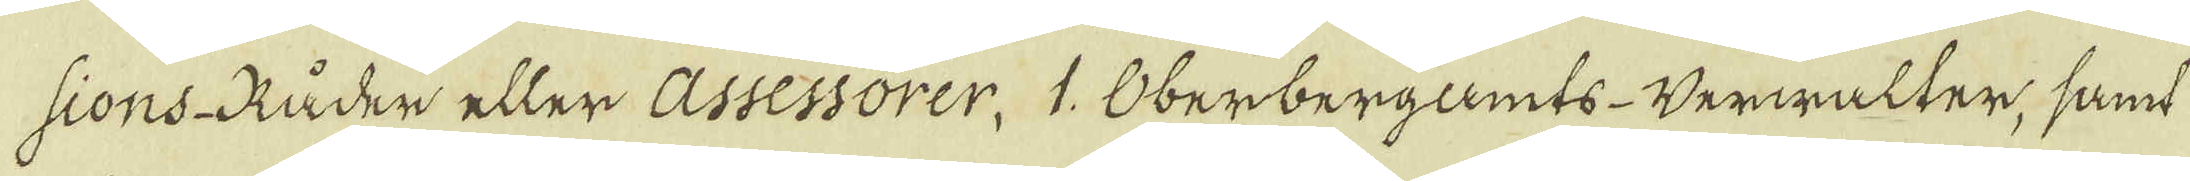sions-Råder eller assessorer. 1. Oberbergamts-Verwalter, samt
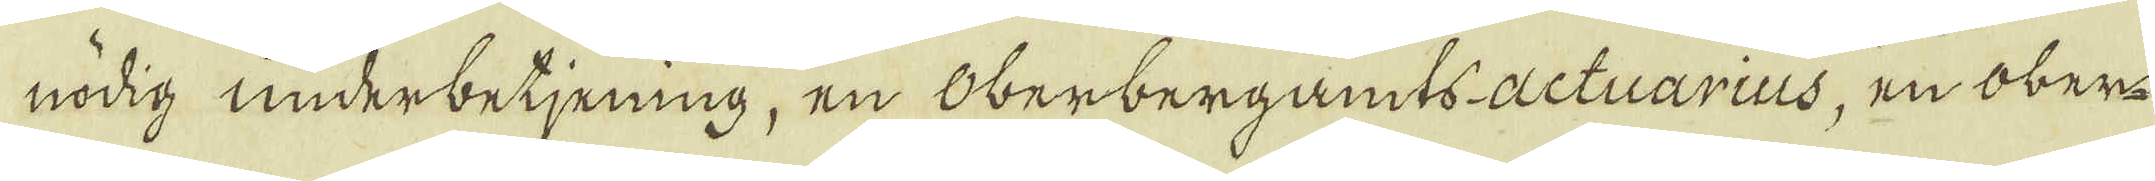nödig underbetjening, en Oberbergamts-actuarius, en ober-
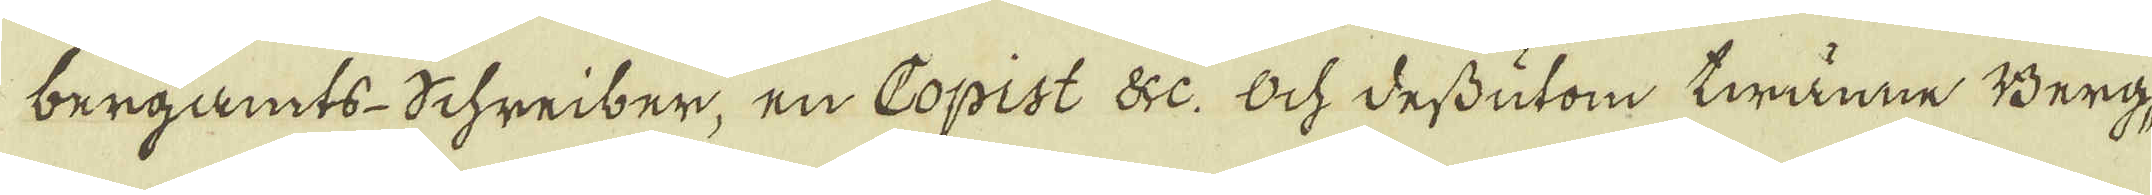bergamts-Schreiber, en Copist &c. Och dessutom twänne Berg-
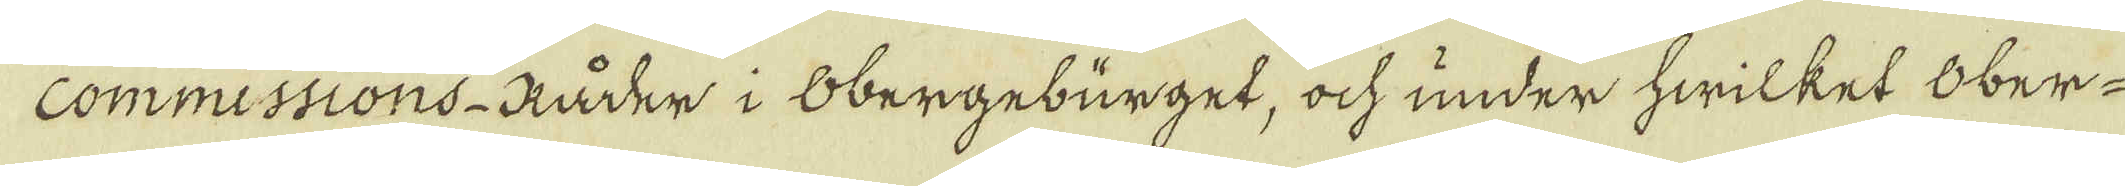commissions-Råder i Obergebürget, ock under hwilket Ober-
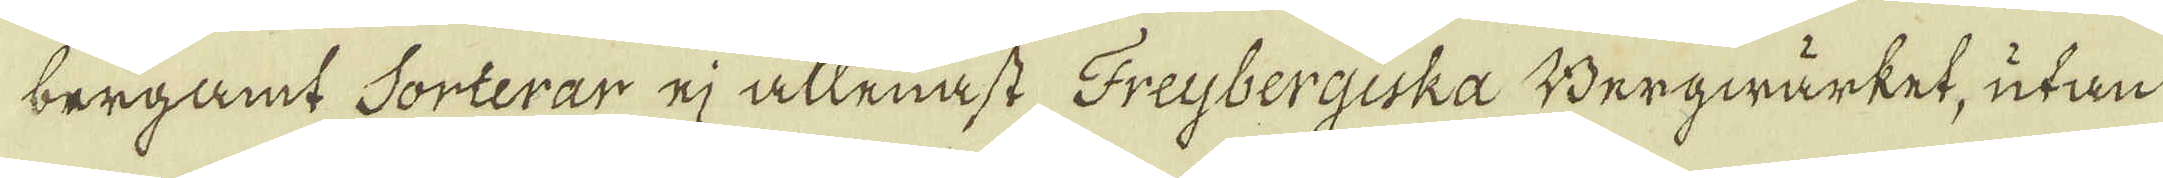bergamt Sorterar ej allenast Freybergiska Bergwärket, utan
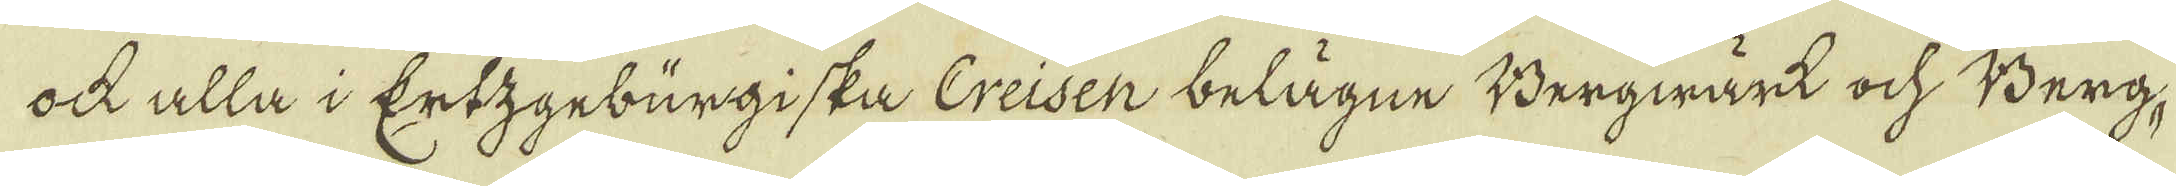ock alla i Ertzgebürgiska Creisen belägne Bergwärk och Berg-
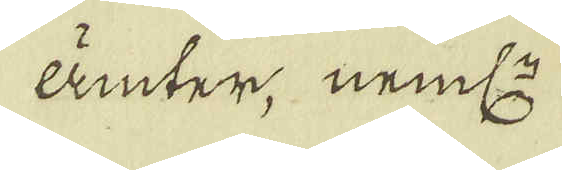ämter, neml:.
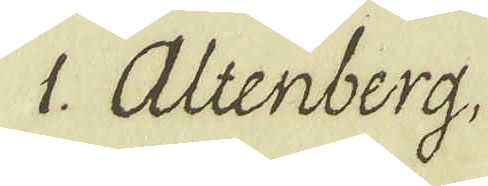1. Altenberg,
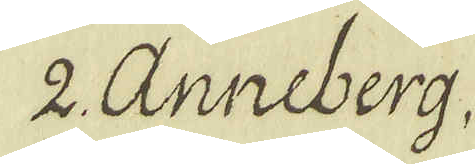2 Anneber,
